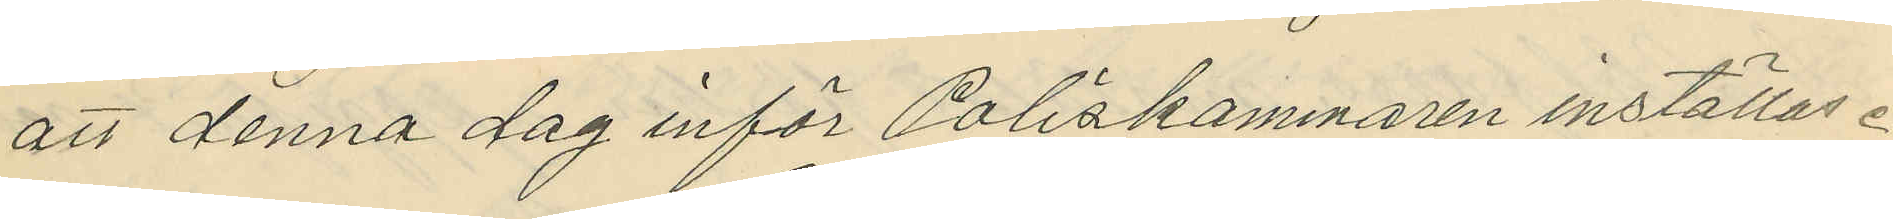att denna dag inför Poliskammaren inställas.
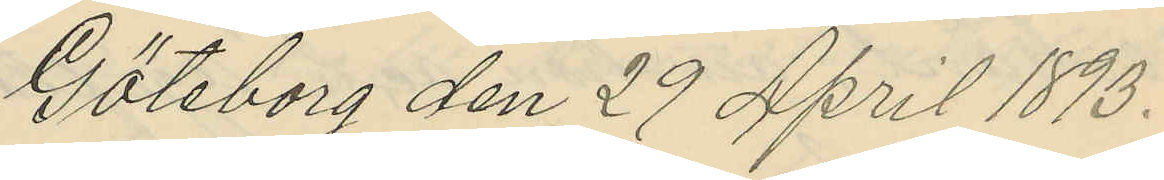Göteborg den 29 April 1893.
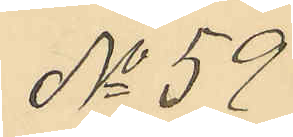No 59
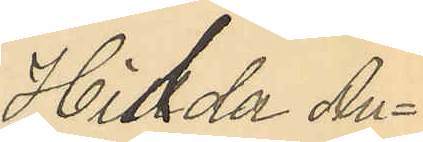Hilda Au¬
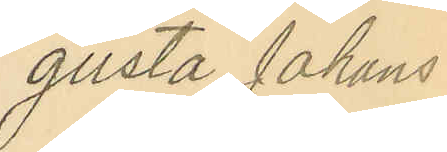gusta Johans
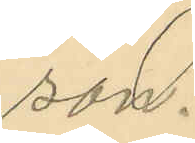son.
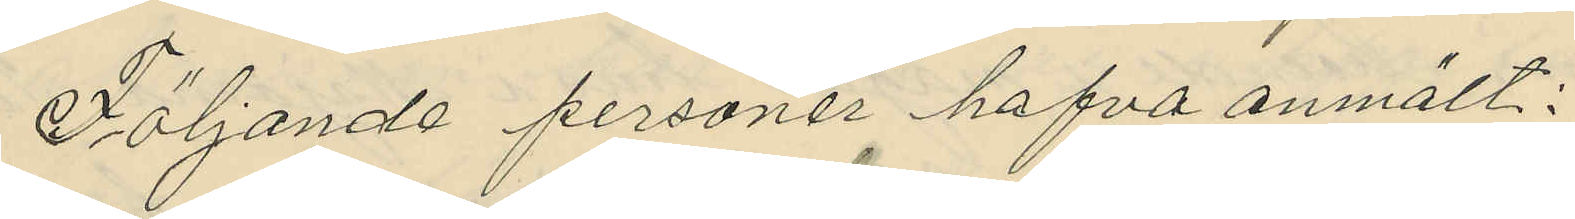Följande personer hafva anmält:
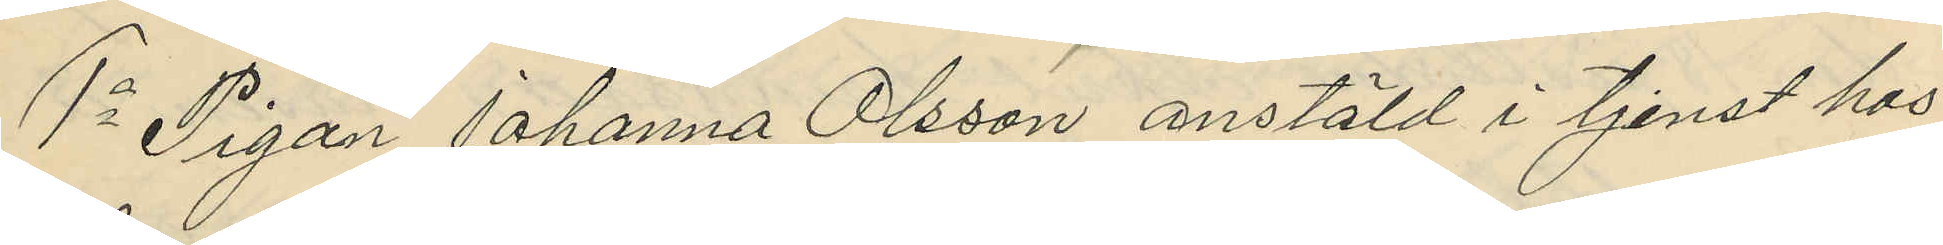1o Pigan Johanna Olsson anstäld i tjenst hos
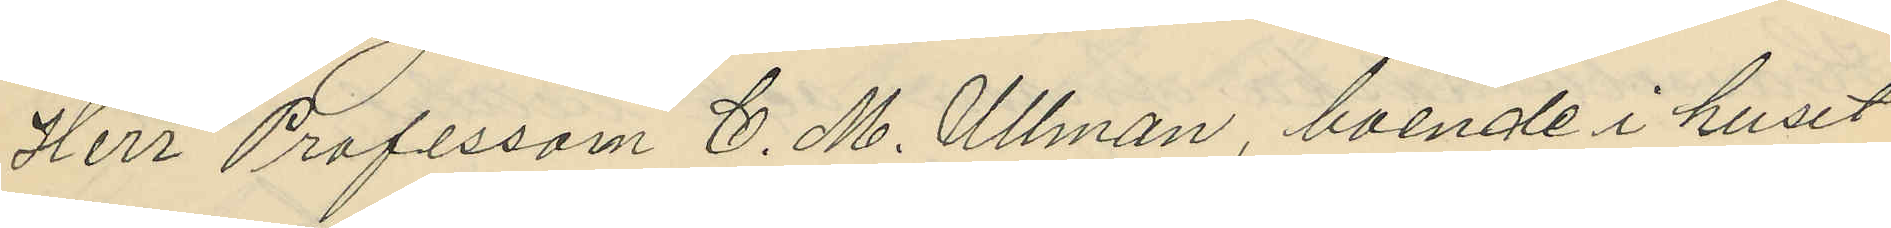Herr Professorn C. M. Ullman, boende i huset
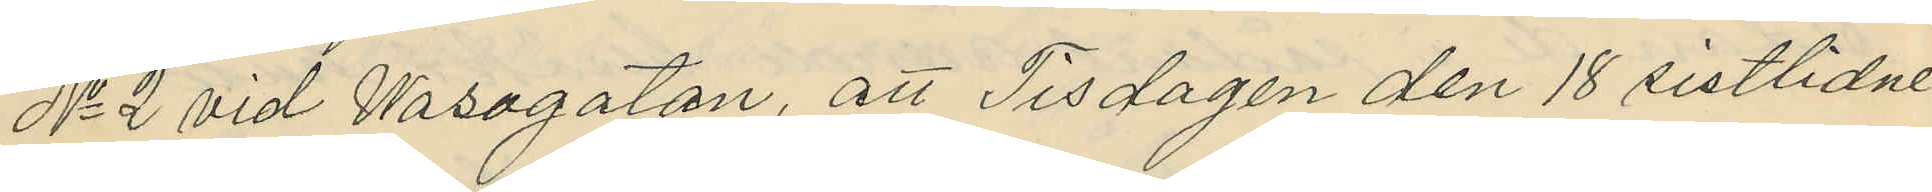No 2 vid Wasagatan, att Tisdagen den 18 sistlidne
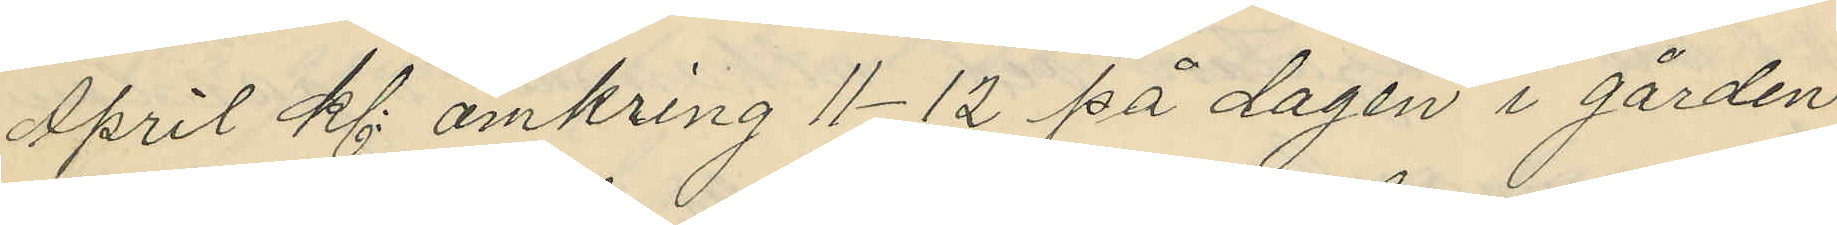April kl: omkring 11-12 på dagen i gården
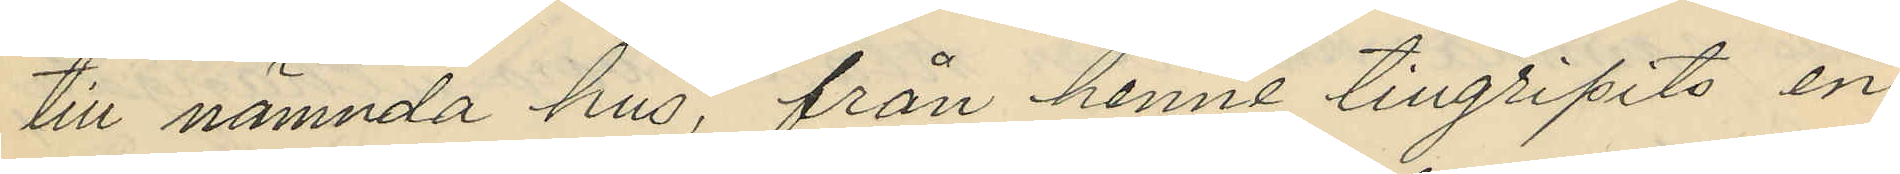till nämnda hus, från henne tillgripits en
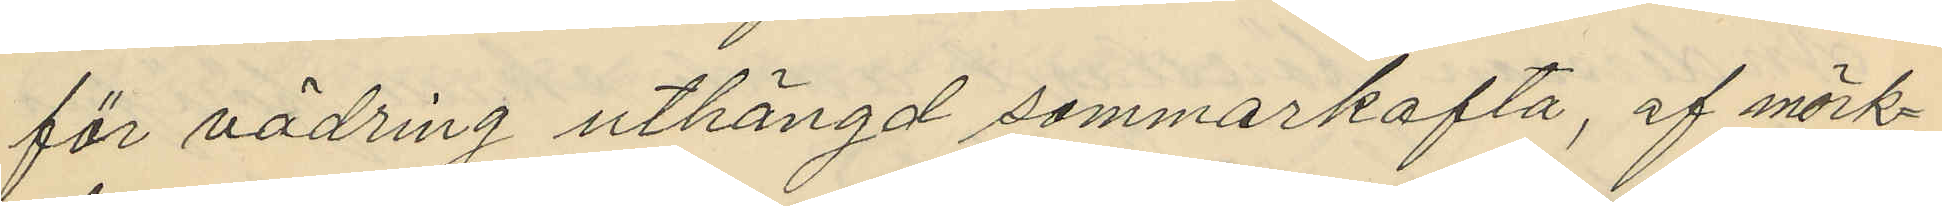för vädring uthängd sommarkofta, af mörk¬
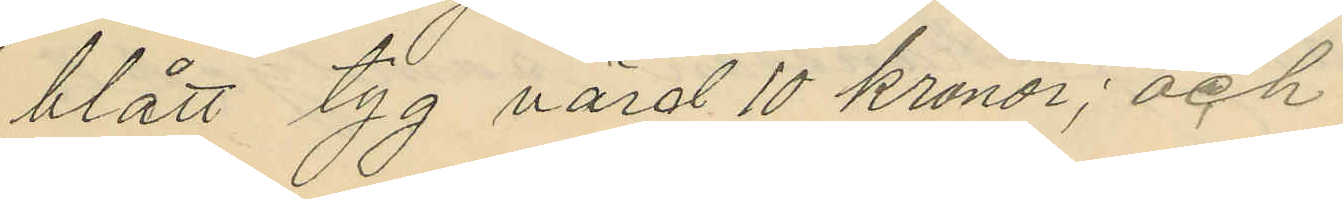blått tyg värd 10 kronor; och
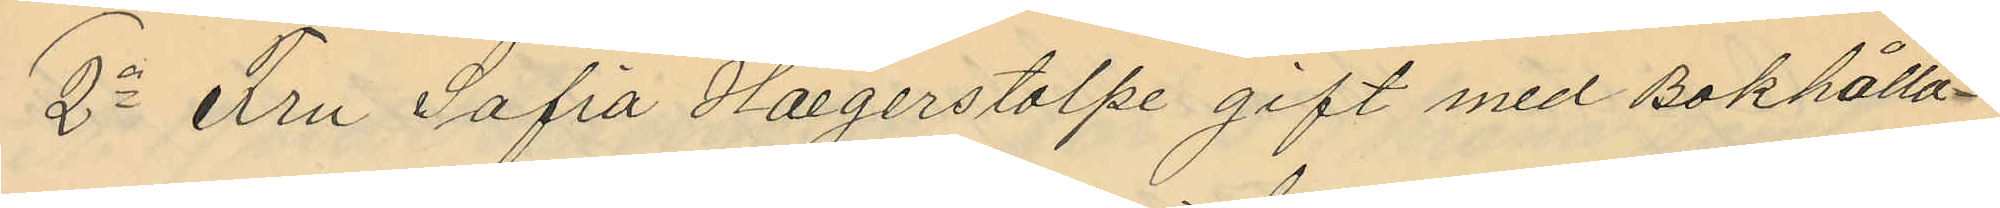2o Fru Sofia Haegerstolpe gift med Bokhålla¬
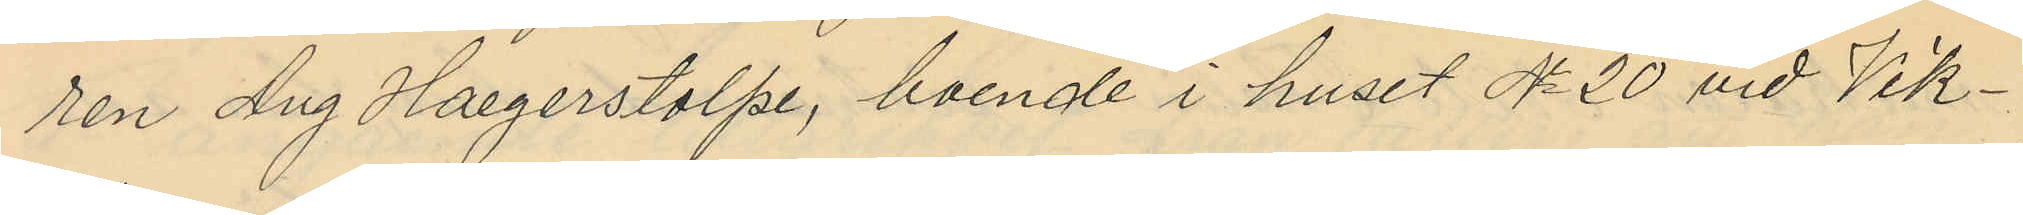ren Aug Haegerstolpe, boende i huset No 20 vid Vik¬
